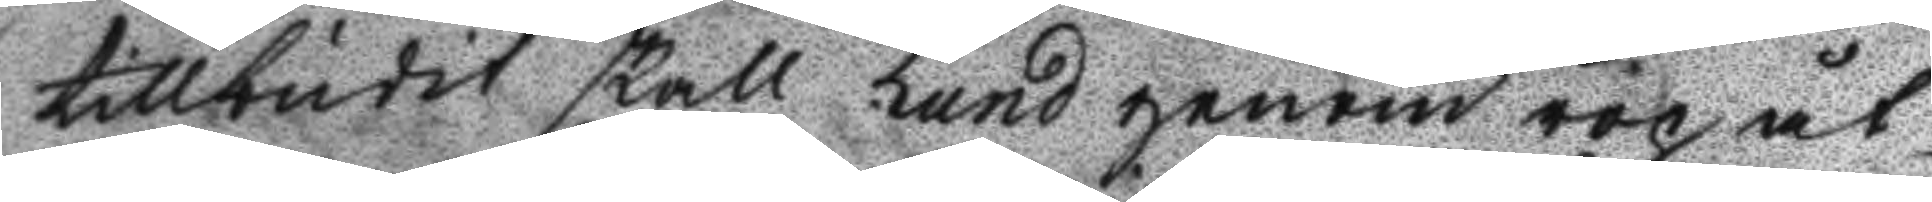tillbudit skall Lund genom rop åt
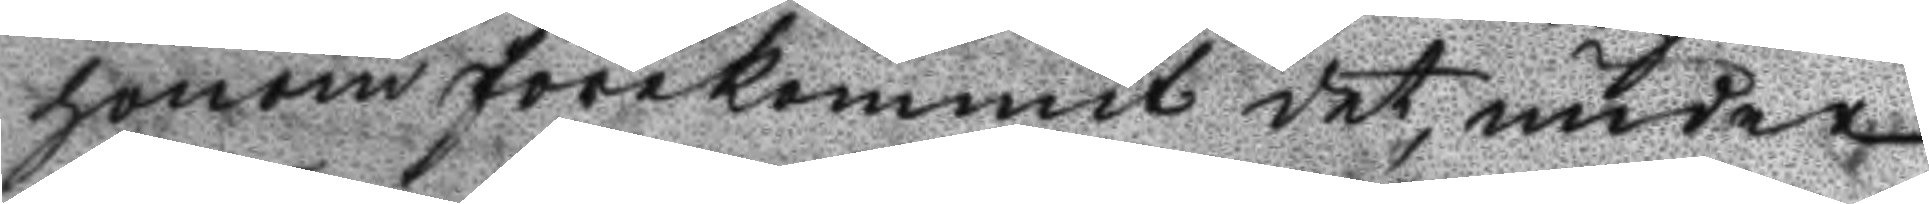honom förekommit det, under
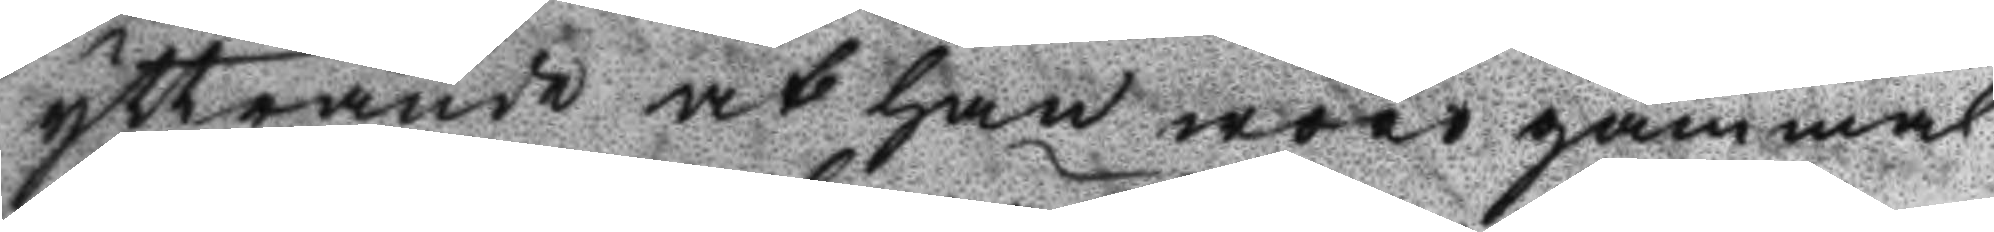yttrande at han wore gammal
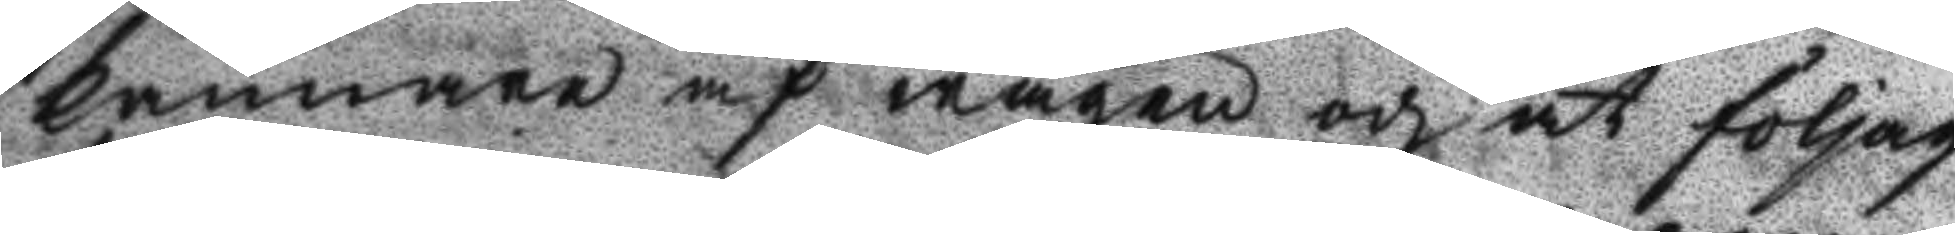kännare af wägen och at följag¬
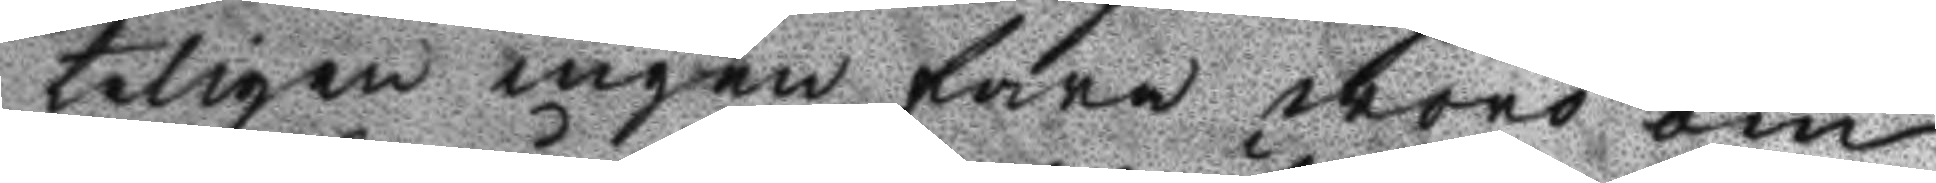teligen ingen fara woro om
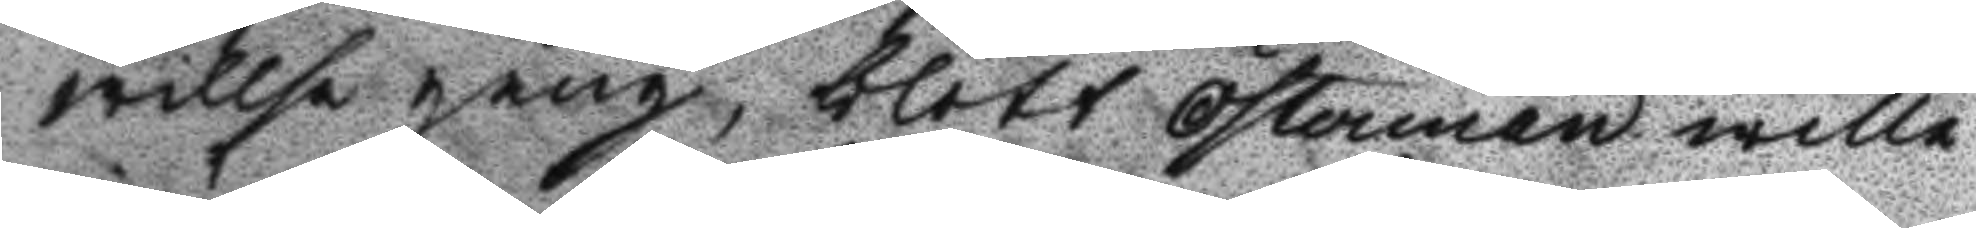willse gång, blott Österman wille
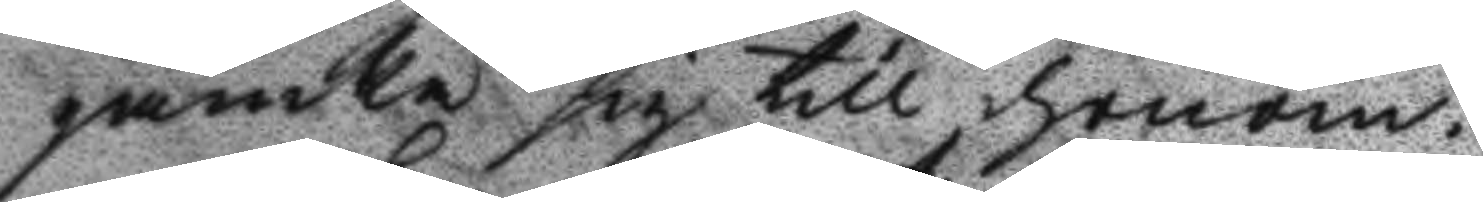jämka sig till honom.
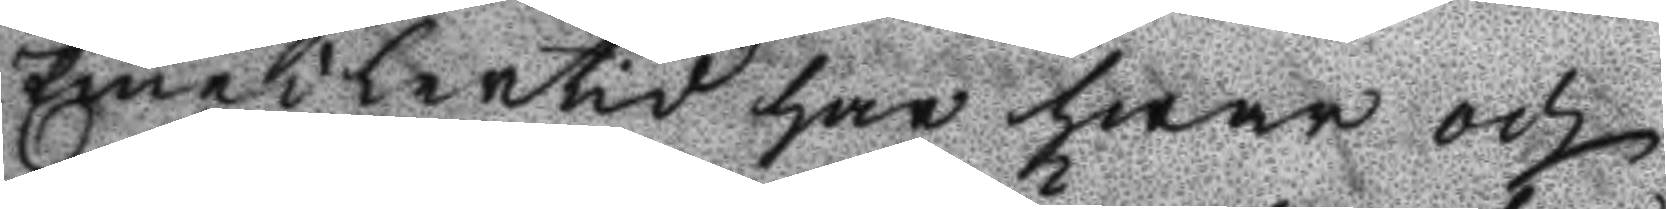Emedlertid har hwar och
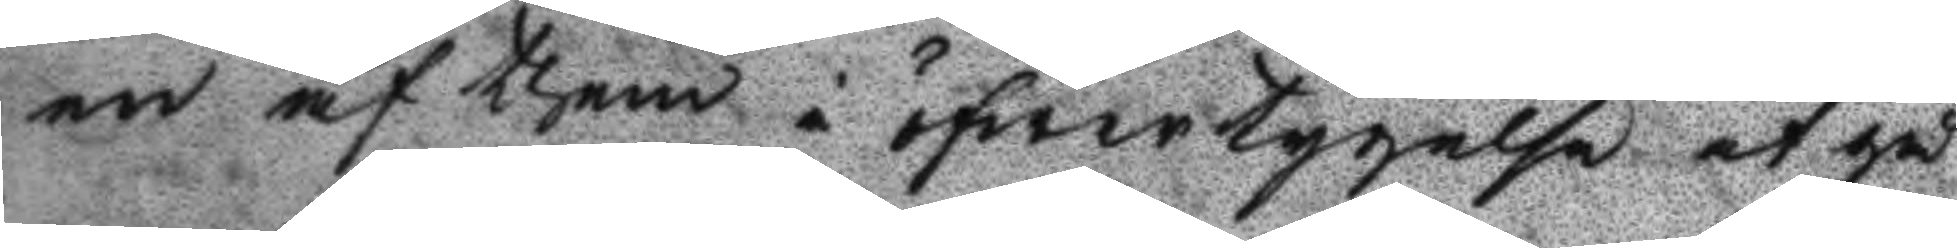en af them i öfwertygelse at gå
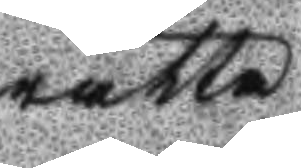rätta
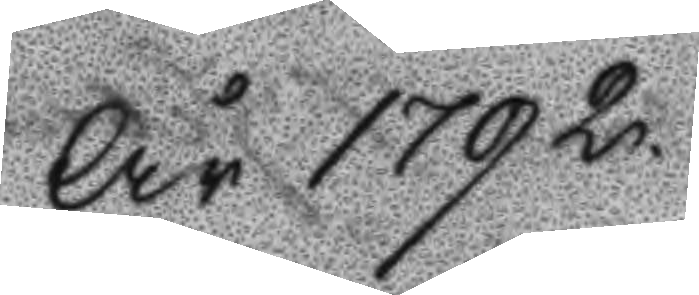År 1792.
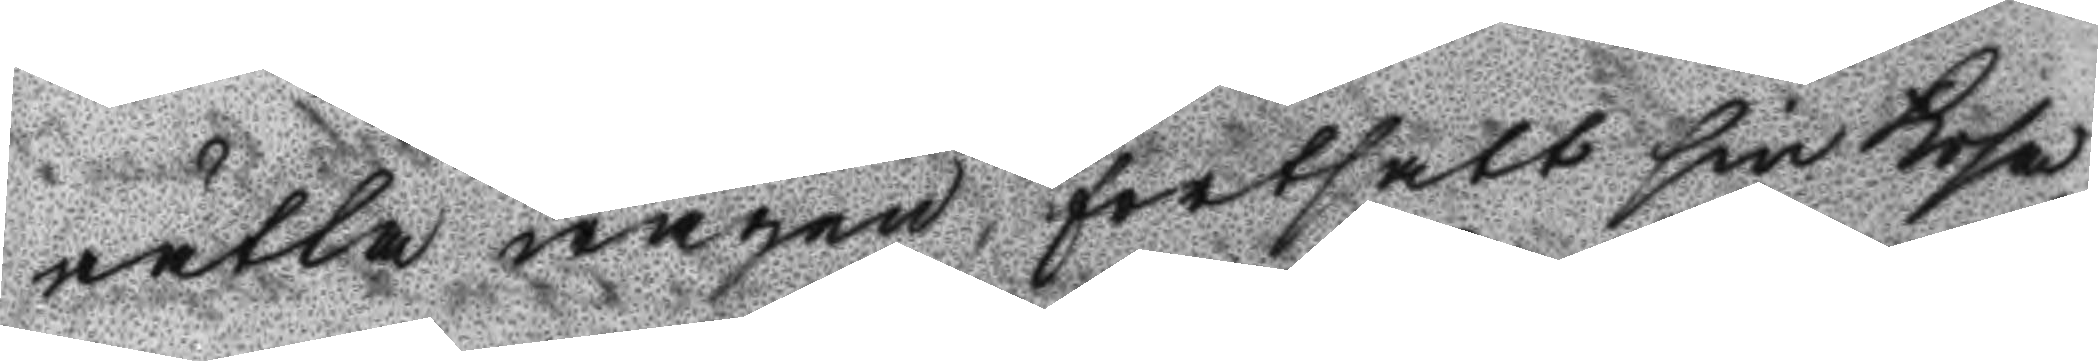rätta wägen fortsatt sin Resa,
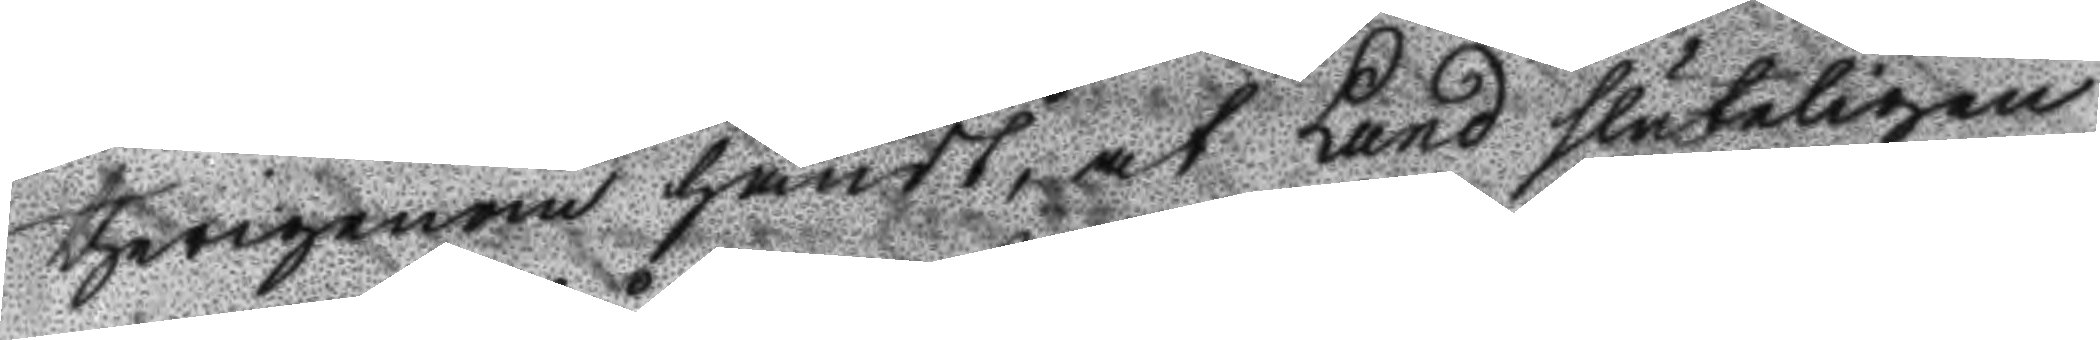therigenom händt, at Lund sluteligen
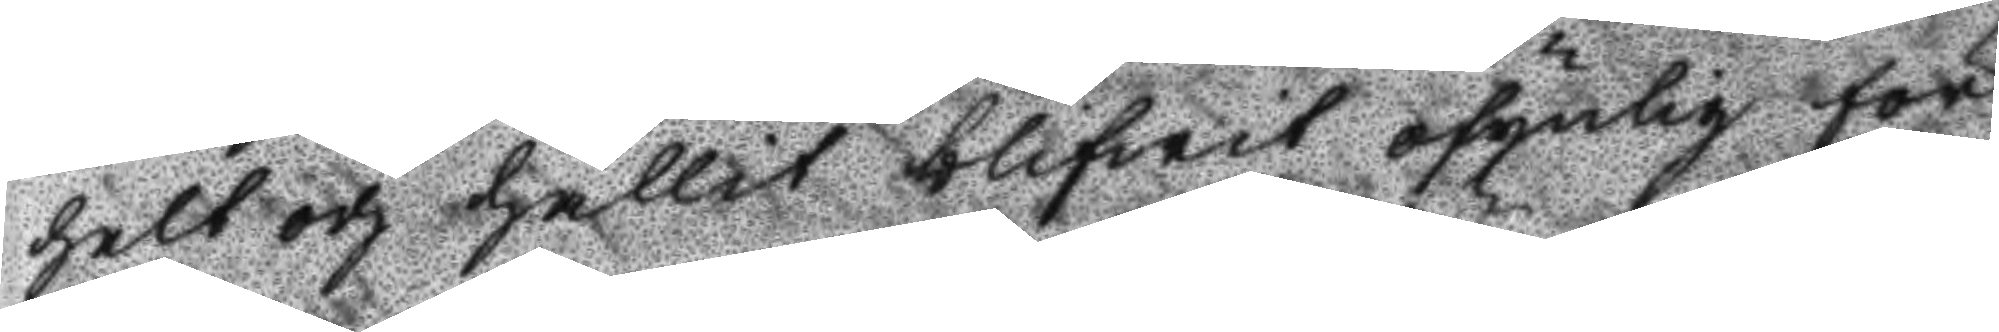helt och hållit blifwit osynlig för
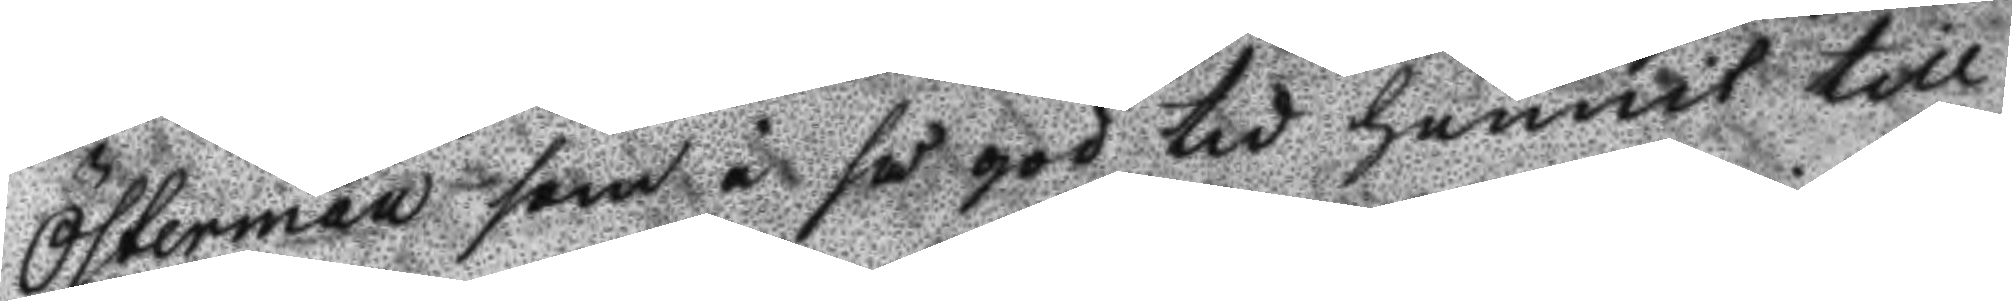Österman som i så god tid hunnit till
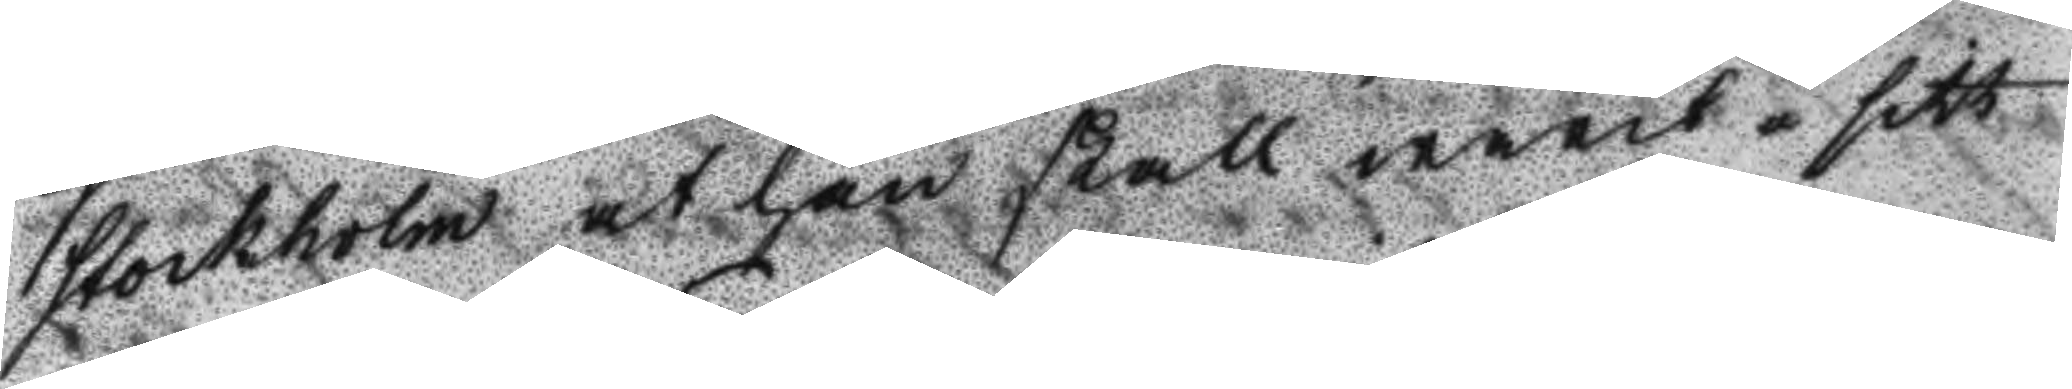Stockholm at han skall warit i sitt
